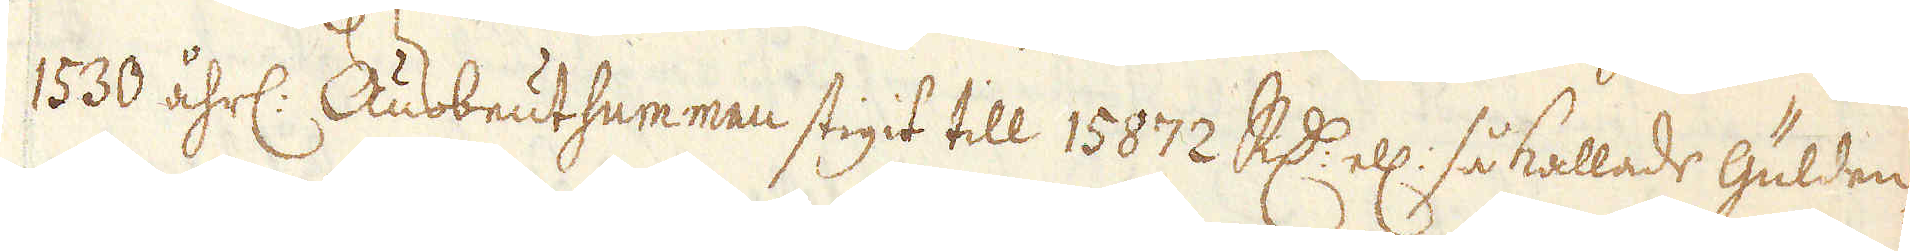1530 åhrl. Ausbeutsummen stigit till 15872 R:dr ell: så kallade Gülden
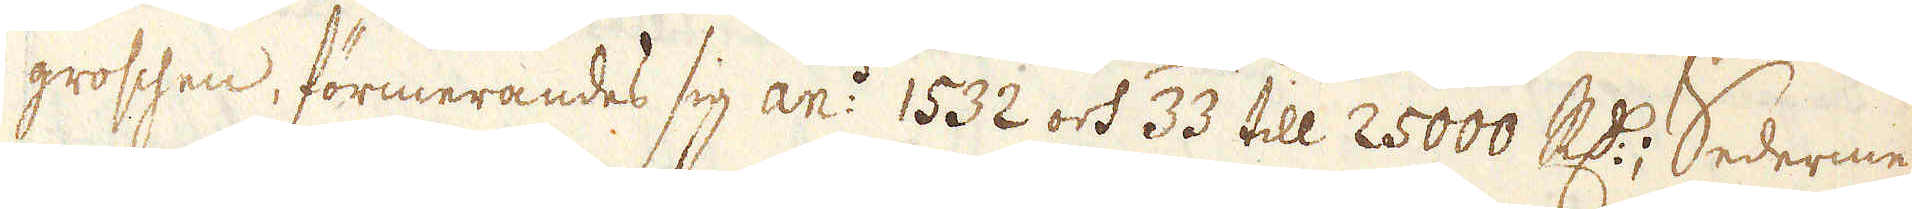groschen, förmerandes sig an:o 1532 och 33 till 25000 R:dr; Sederme-
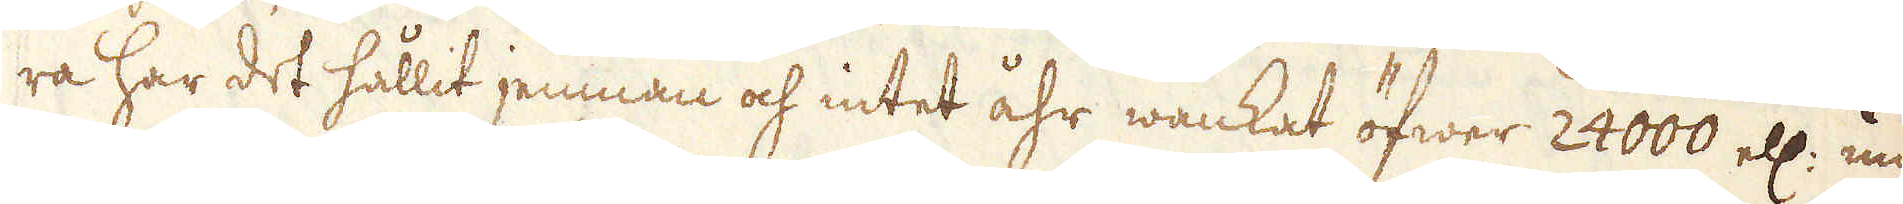ra har det hållit jemnan och intet åhr wankat öfwer 24000 ell: un-
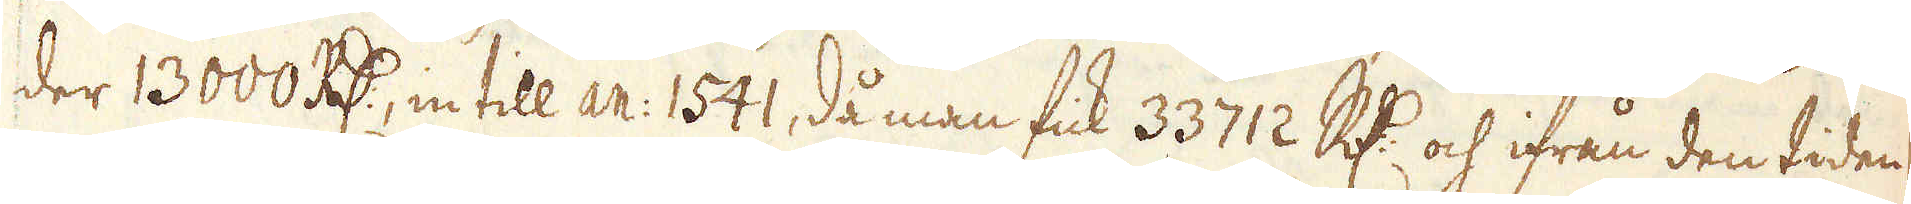der 13000 R:dr, in till An: 1541, då man fick 33712 R:dr och ifrån den tiden
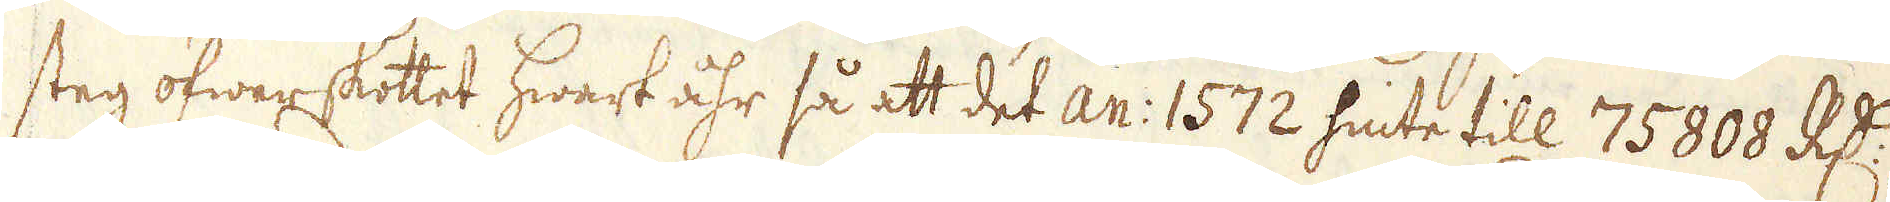steg öfwerskottet hwart åhr så att det An: 1572 hinte till 75808 R:dr,
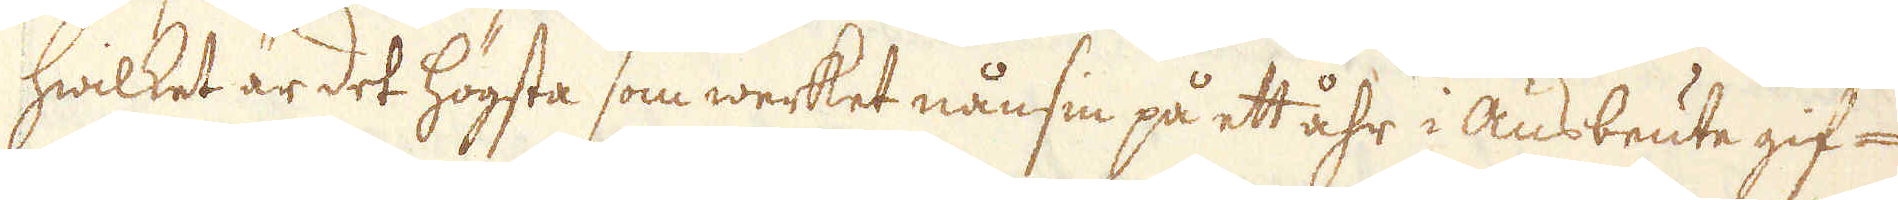hwilket är det högsta som werket nånsin på ett åhr i ausbeute gif-
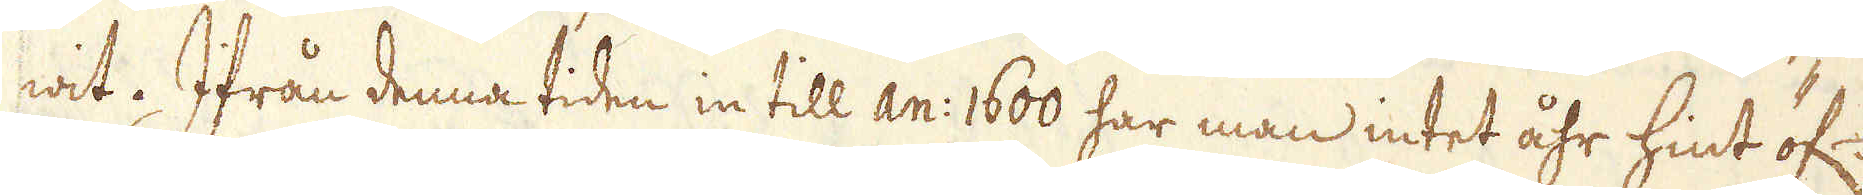wit. Ifrån denna tiden in till an: 1600 har man intet åhr hint öf:
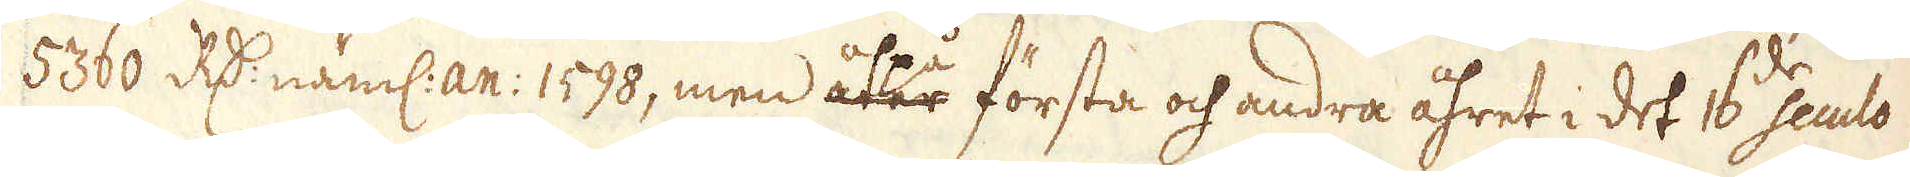5360 R:dr näml: an: 1598, men åter första och andra åhret i det 16de seuclo
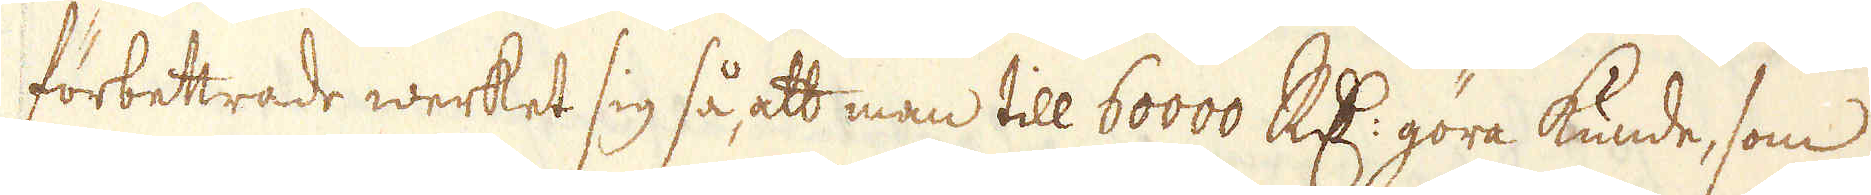förbettrade werket sig så att man till 60000 R:dr göra kunde, som
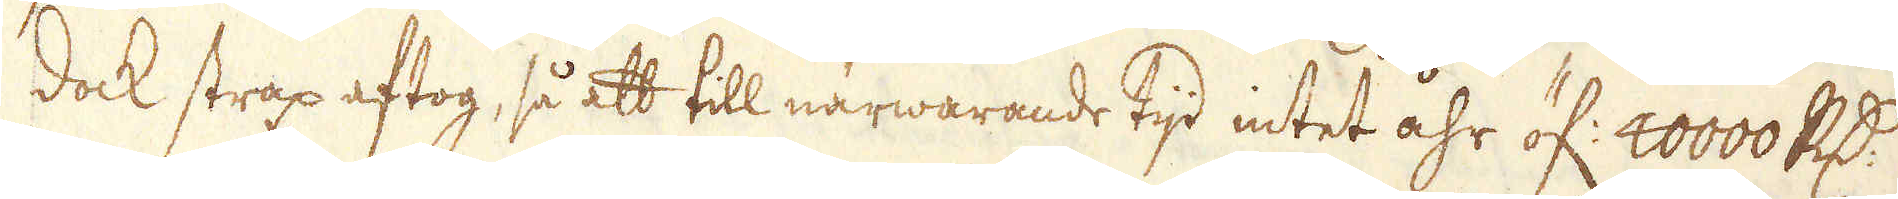dock strax aftog, så att till närwarande tijd intet åhr öf: 40000 R:dr
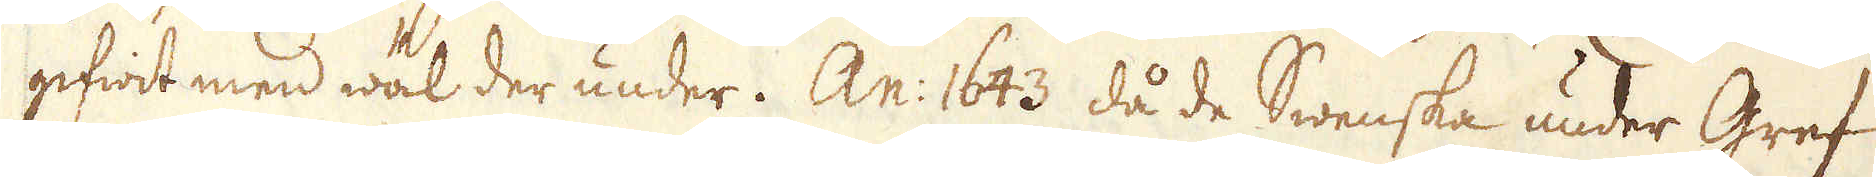gifwit men wäl der under. An: 1643 då de Swenska under Gref
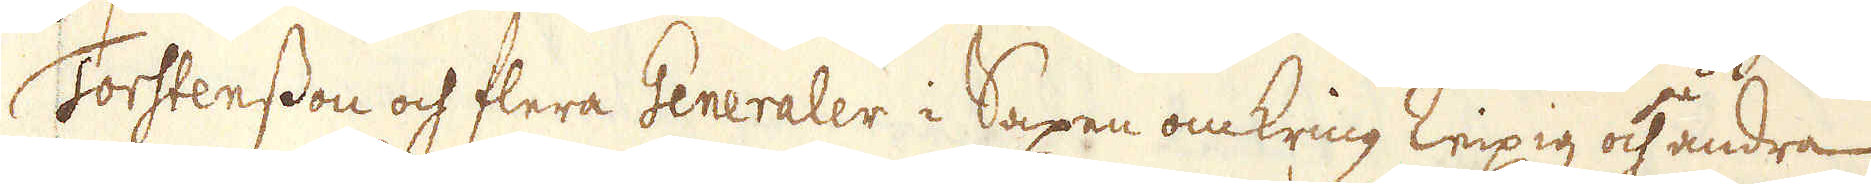Torstensson och flera Generaler i Saxen omkring Leipzig och andra
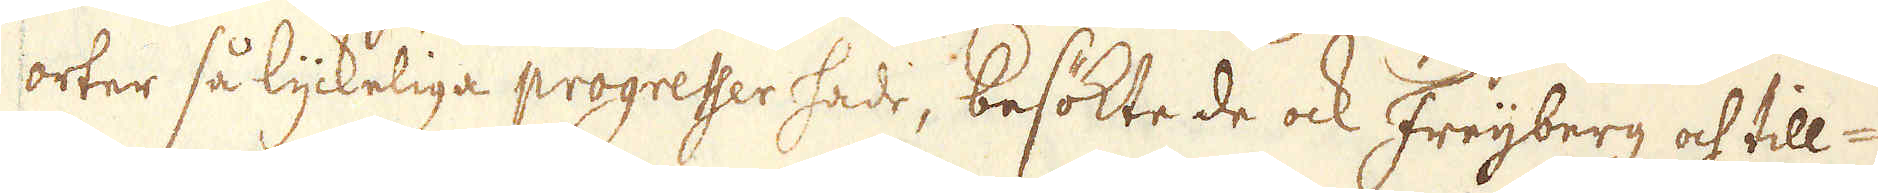orter så lyckeliga progresser hade, besökte de ock Freijberg och till-
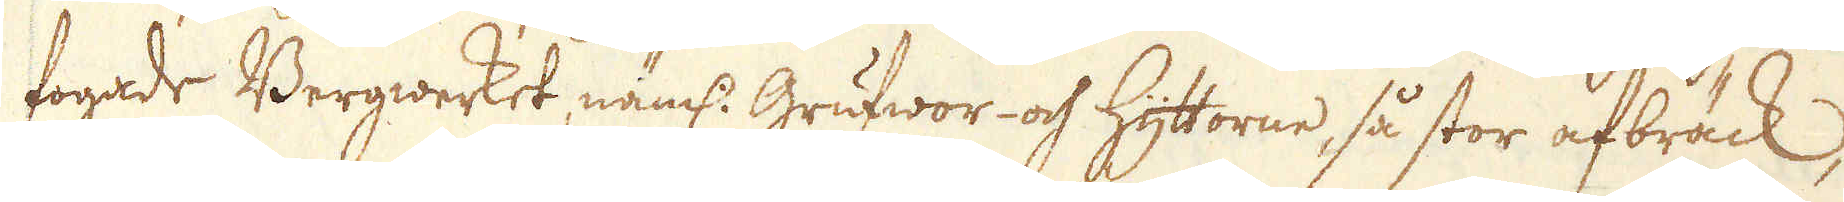fogade Bergwerket näml. Grufwor och hyttorne, så stor afbräck,
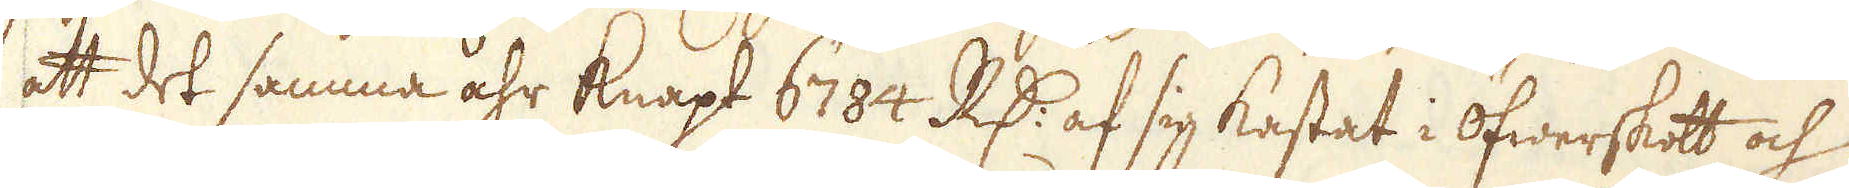att det samma åhr knapt 6784. RD:r af sig kastat i öfwerskott och
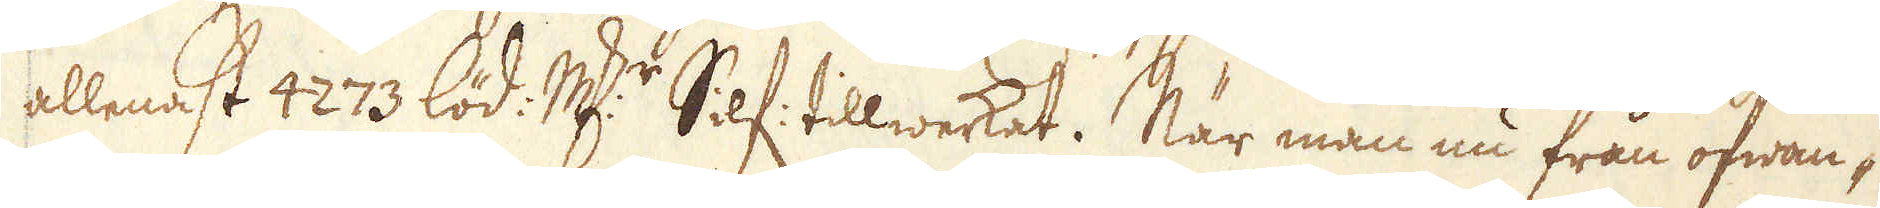allenast 4273 löd. marker Silf tillwerkat. När man nu från ofwan-
